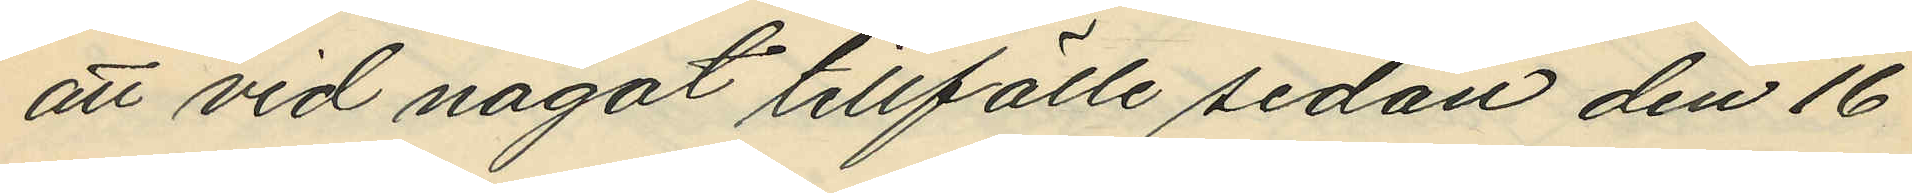att vid något tillfälle sedan den 16
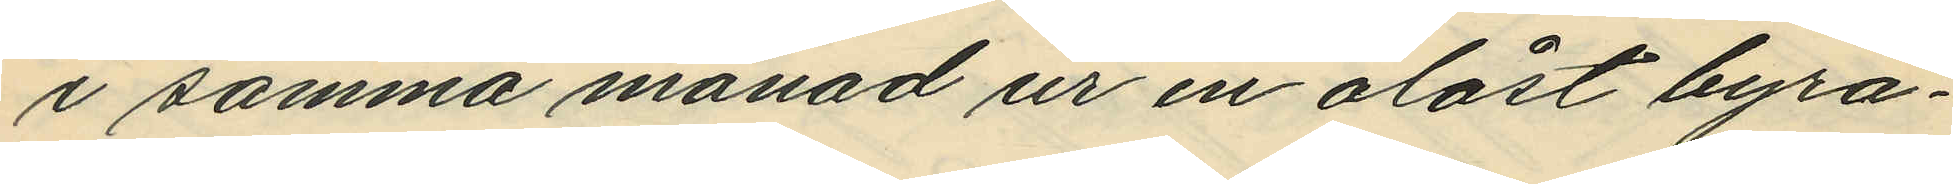i samma månad ur en olåst byrå¬
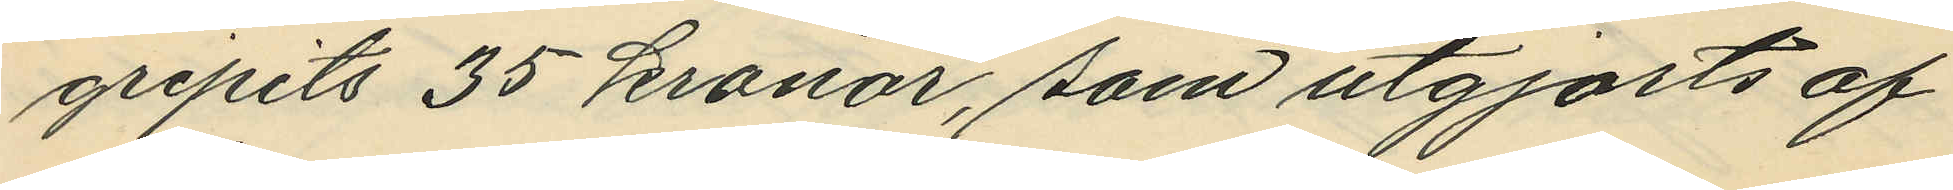gripits 35 kronor, som utgjorts af
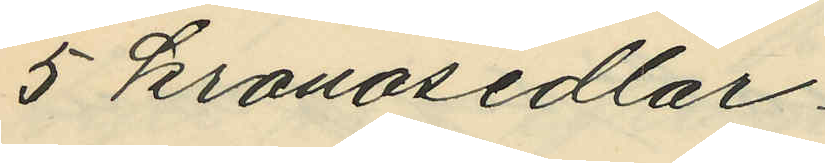5 kronosedlar.
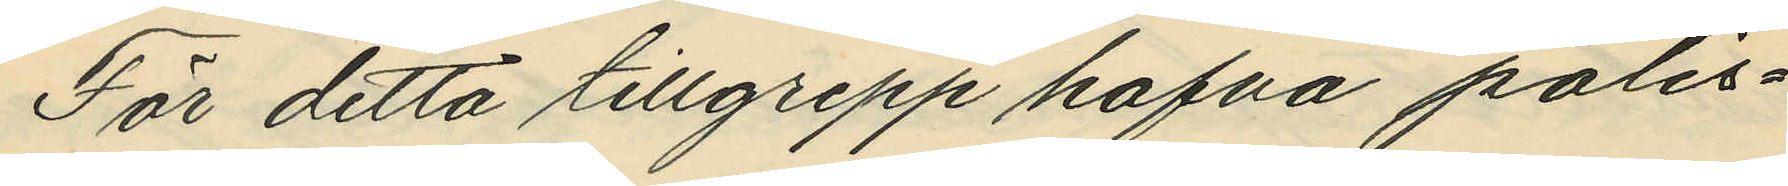För detta tillgrepp hafva polis¬
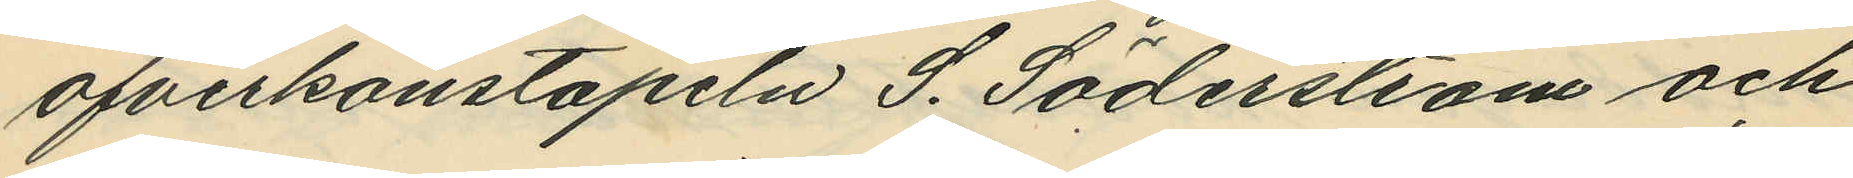ofverkonstapeln S. Söderström och
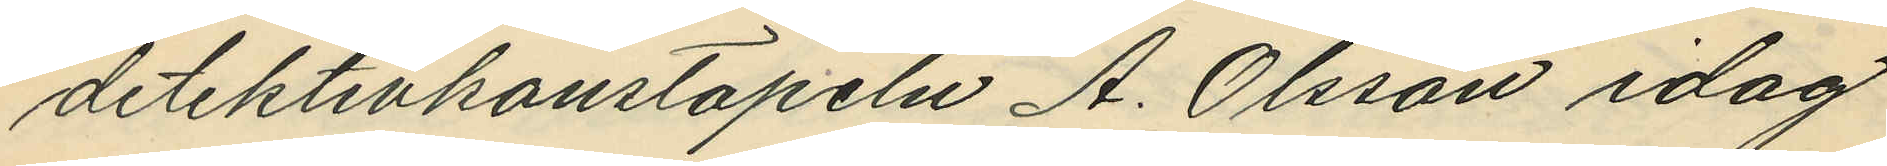detektivkonstapeln A. Olsson idag
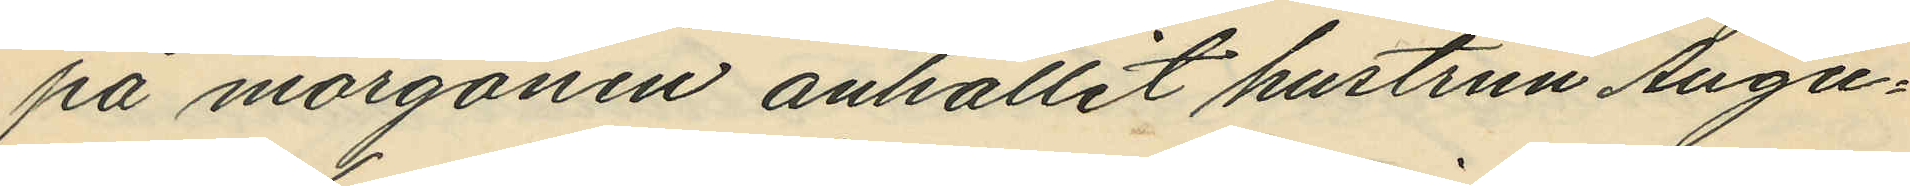på morgonen anhållit hustrun Augu¬
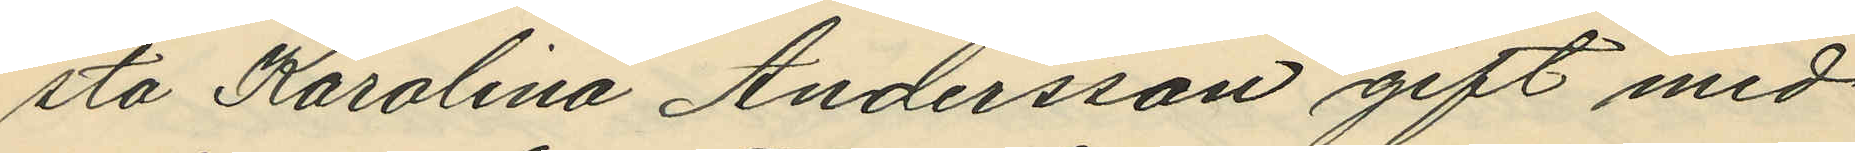sta Karolina Andersson gift med
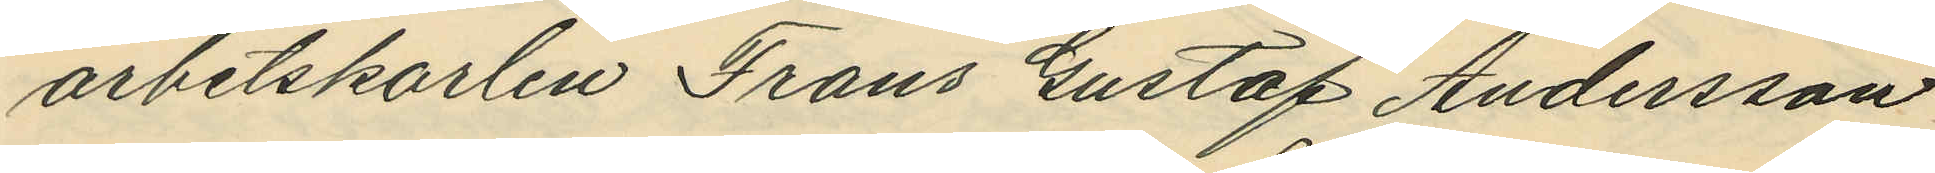arbetskarlen Frans Gustaf Andersson
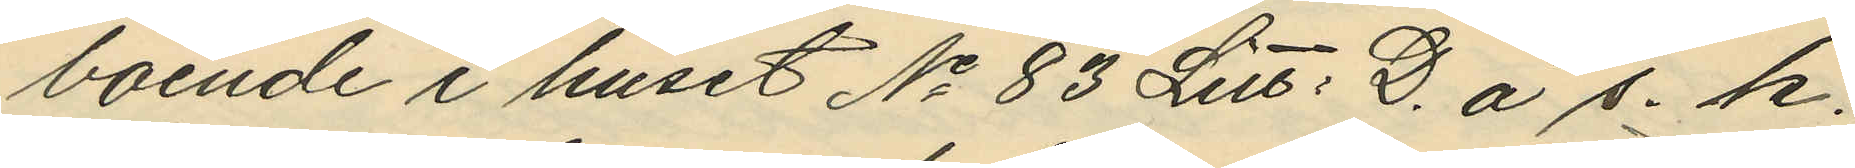boende i huset No 83 Litt. D. å s. k.
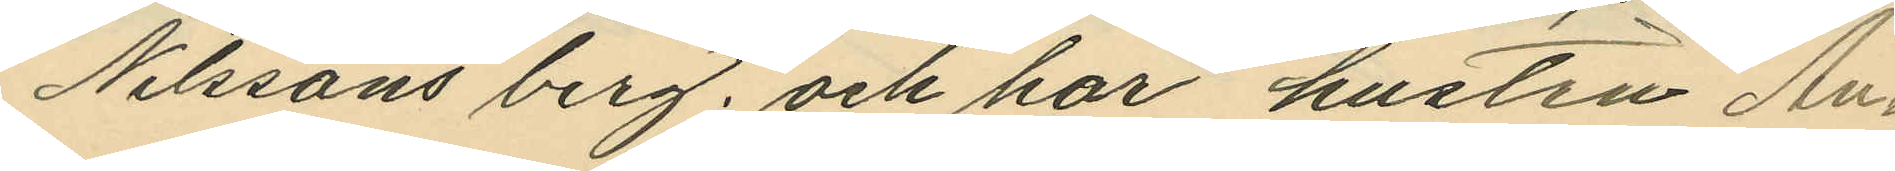Nilssons berg; och har hustru An¬
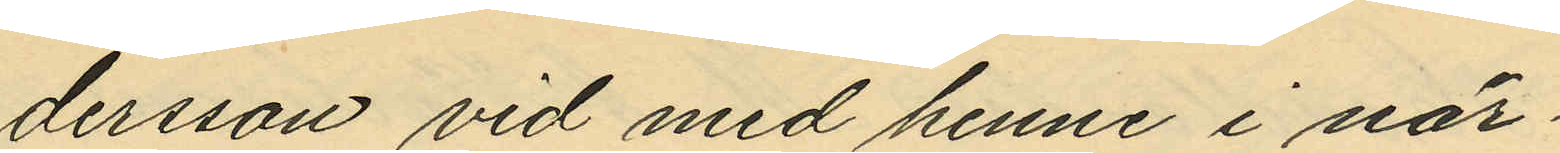dersson vid med henne i när¬
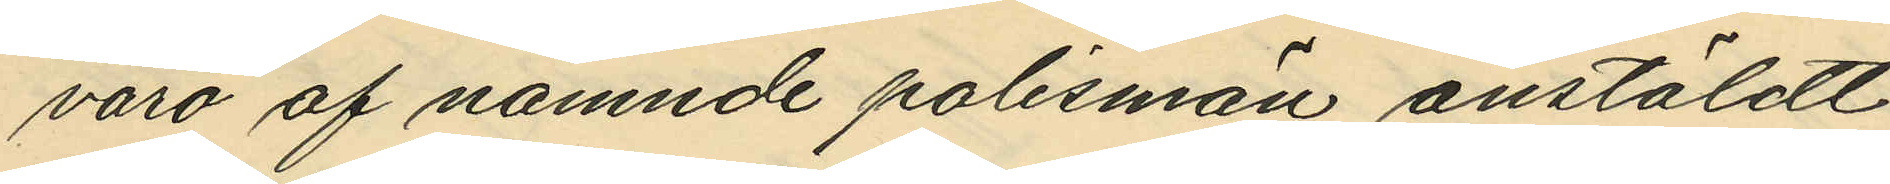varo af nämnde polismän anstäldt
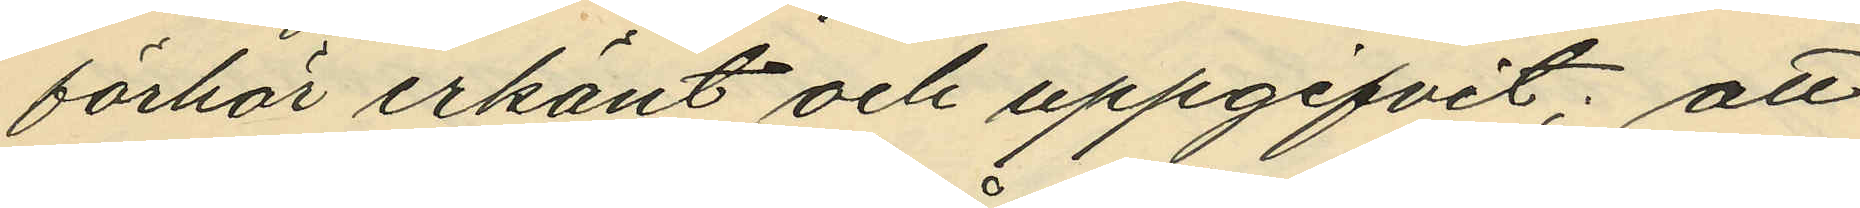förhör erkänt och uppgifvit; att
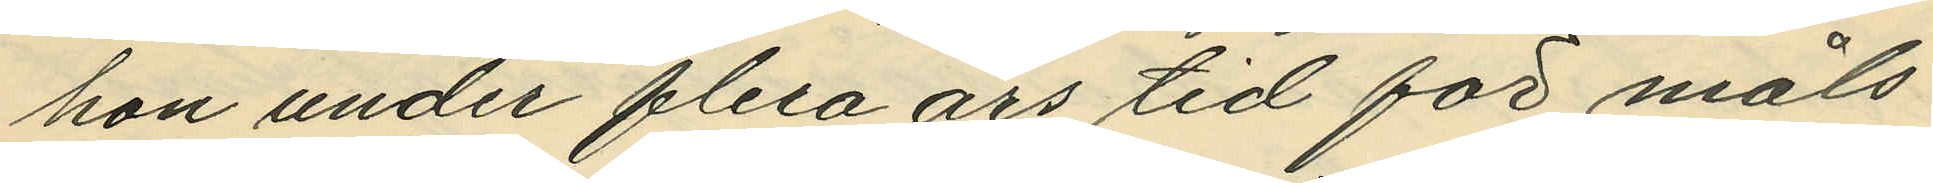hon under flera års tid för måls¬
